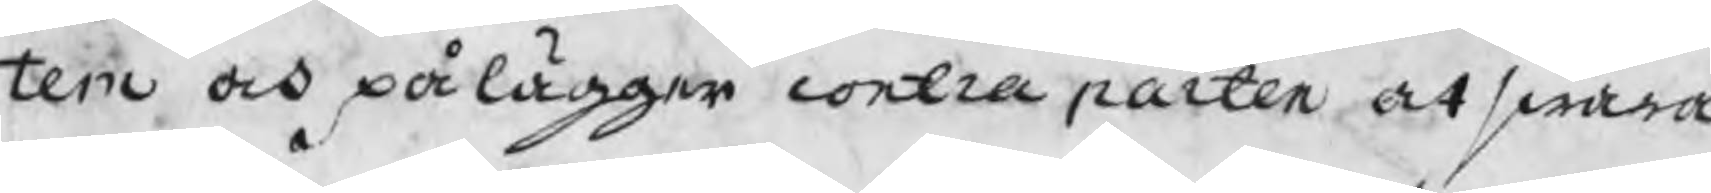tem och pålägger contraparten at swara
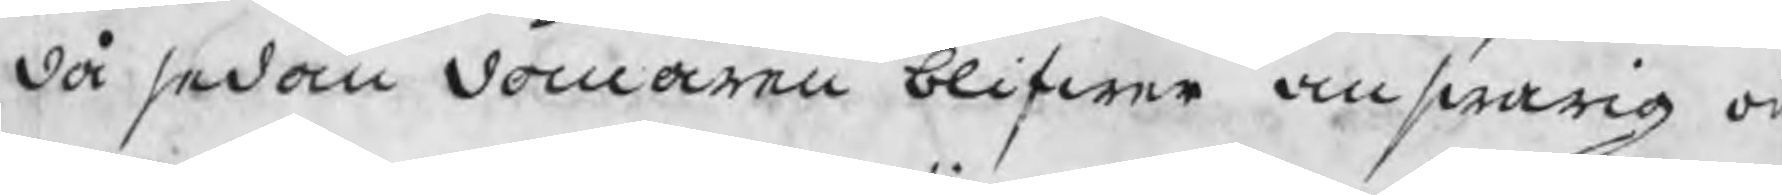då sedan domaren blifwa answarig o
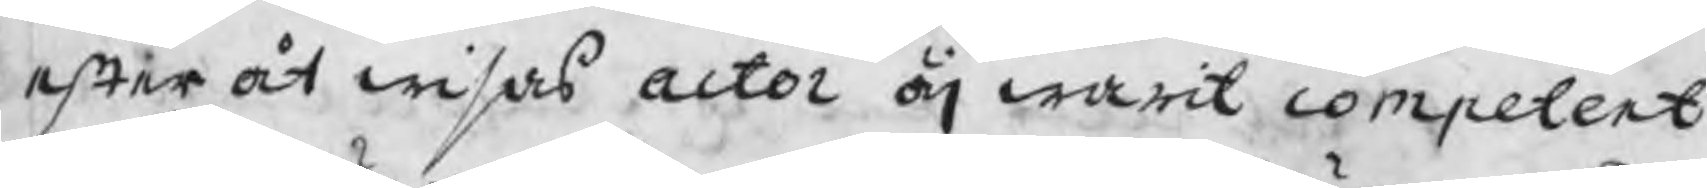efter åt wisas actor äj warit competent.
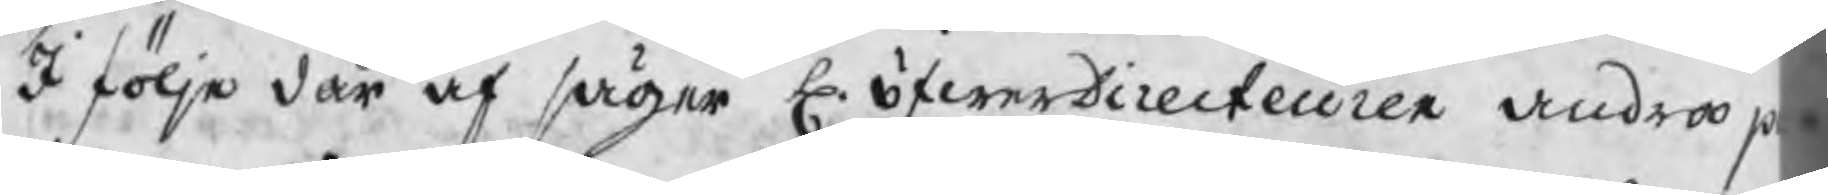I följe där af säger H. öfwerDirecteuren andra p
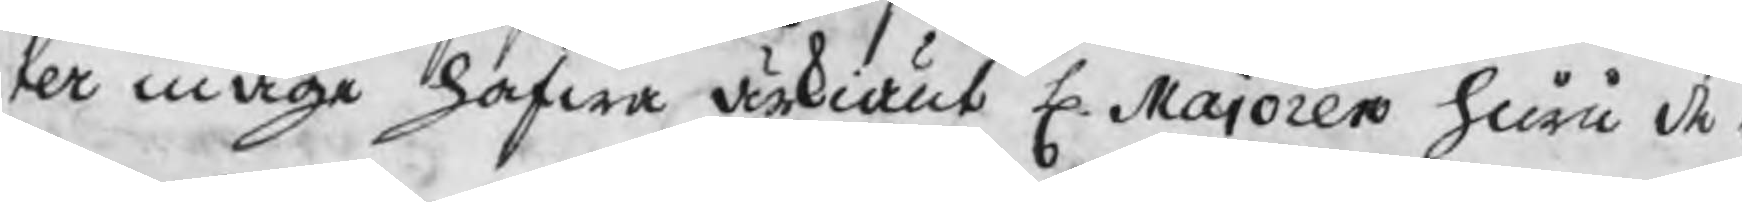ter måge hafwa ärkiänt H. Majoren huru de b
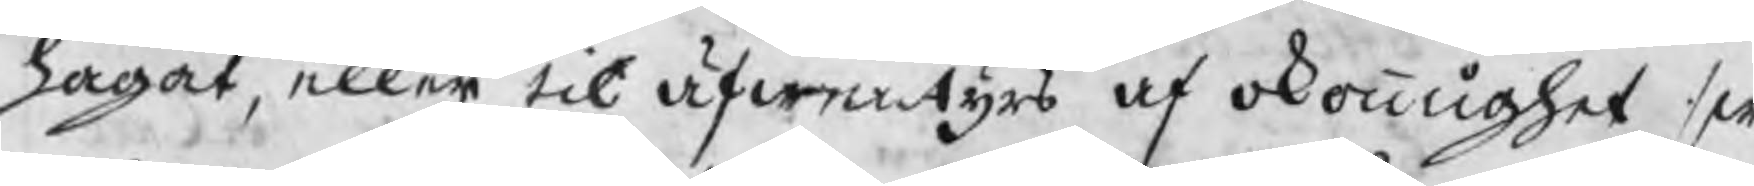hagat, eller til äfwentyrs af okonnighet sw
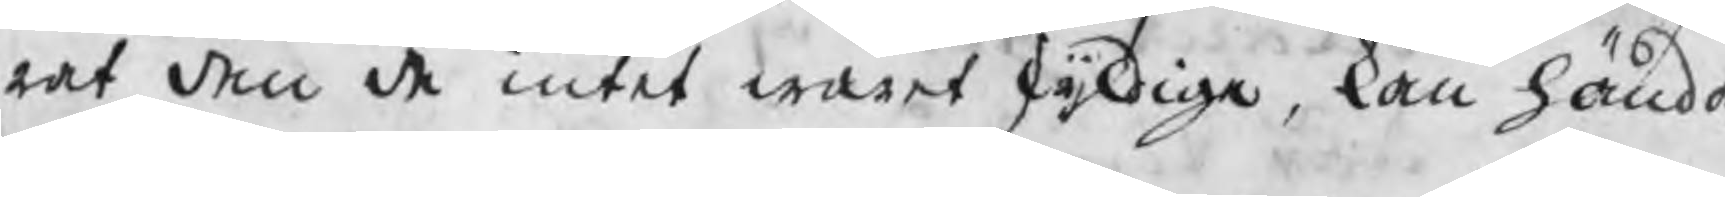rat den de intet waret skyldiga, kan hända
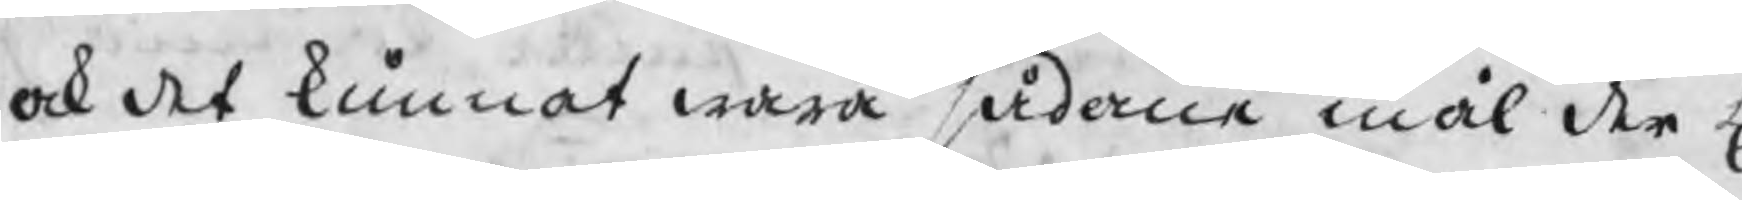ock det kunnat wara sådane mål der H
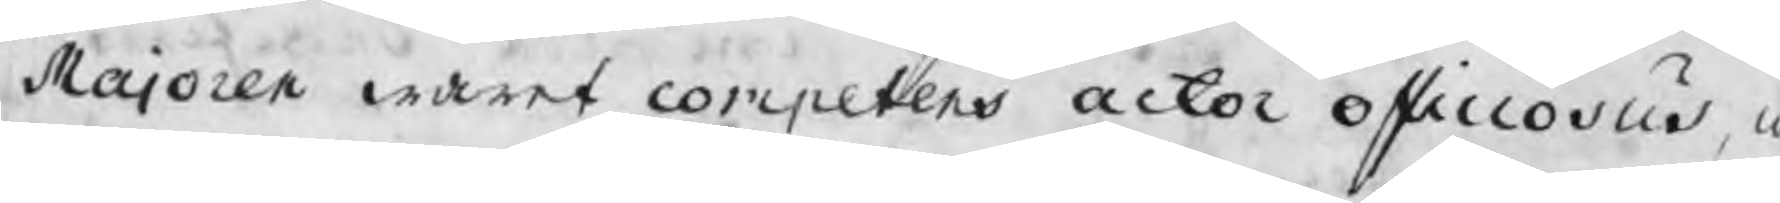Majoren waret competent actor officiosus m
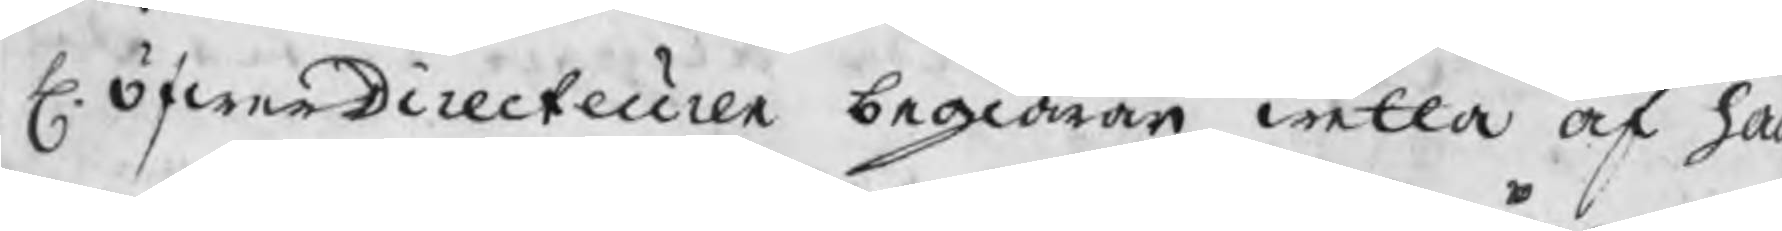H. öfwerDirecteuren begiärer wetta af ha
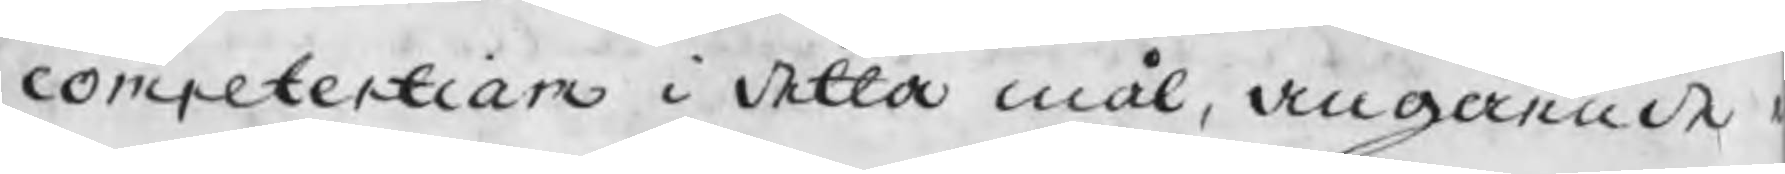competentiam i detta mål, angående
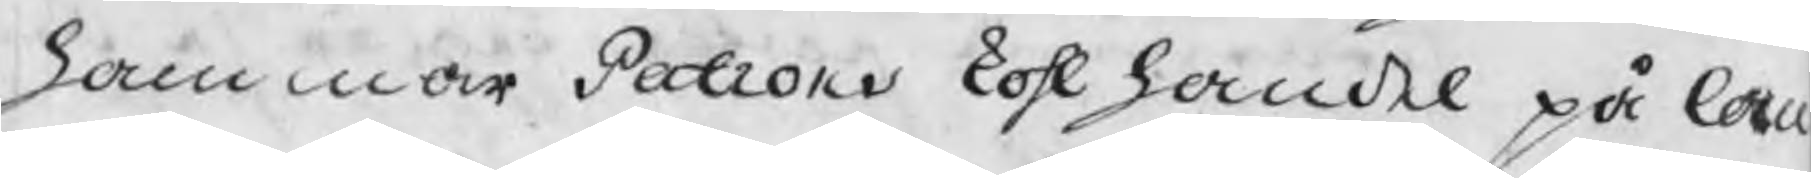hammar Patrons kohlhandel på lan
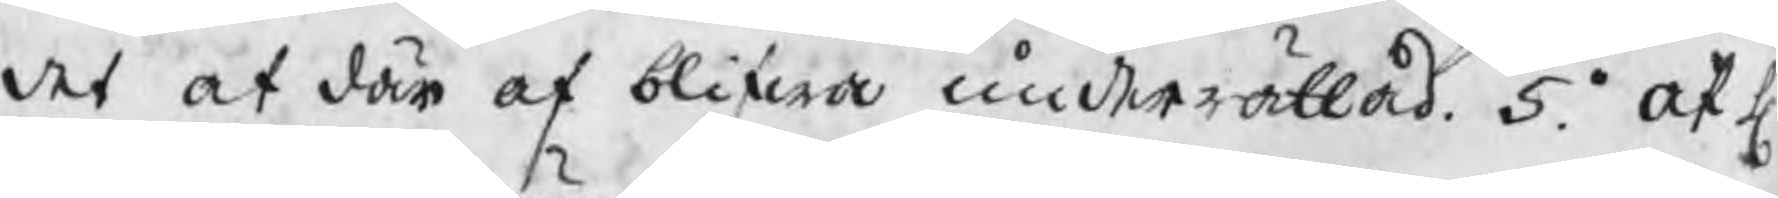det at där af blifwa underrättad. 5o. at H.
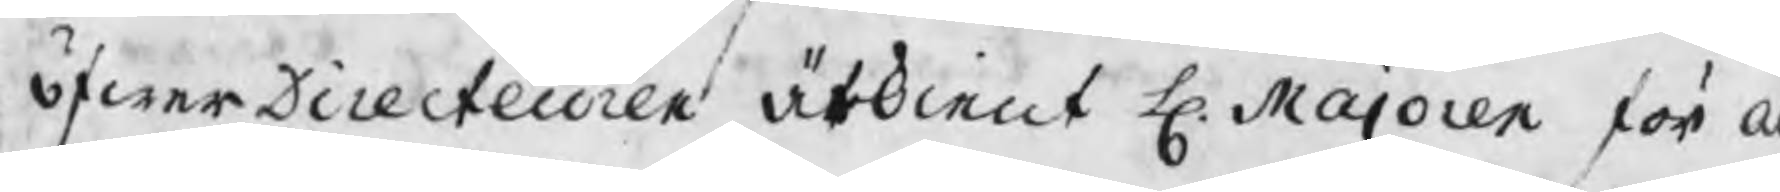öfwerDirecteuren ärkient H. Majoren för a
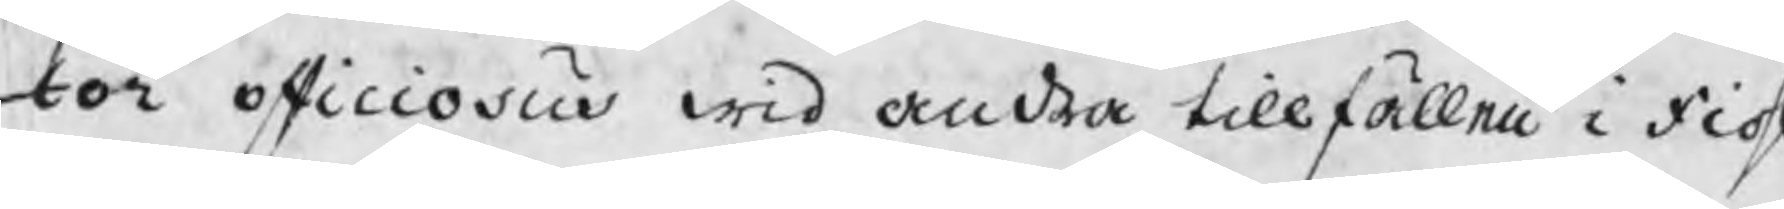tor officiosus wid andra tillfällen i fiohl
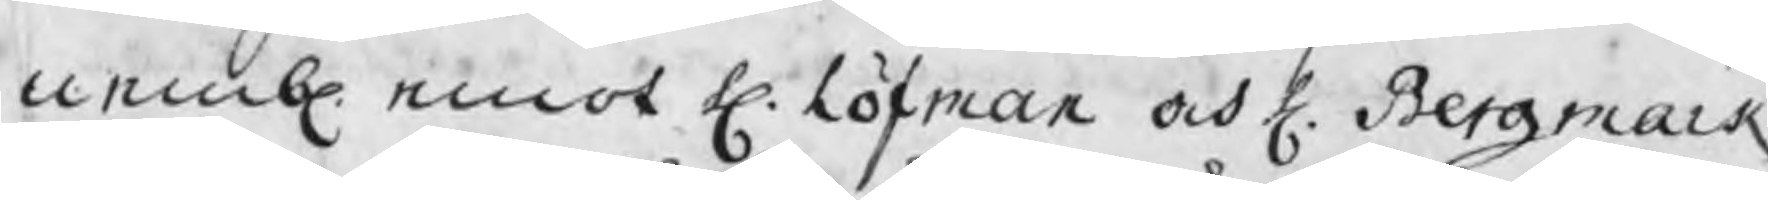nembl. emot H. Löfman och H. Bergmark
